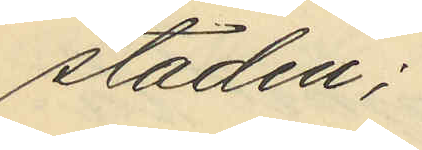staden;
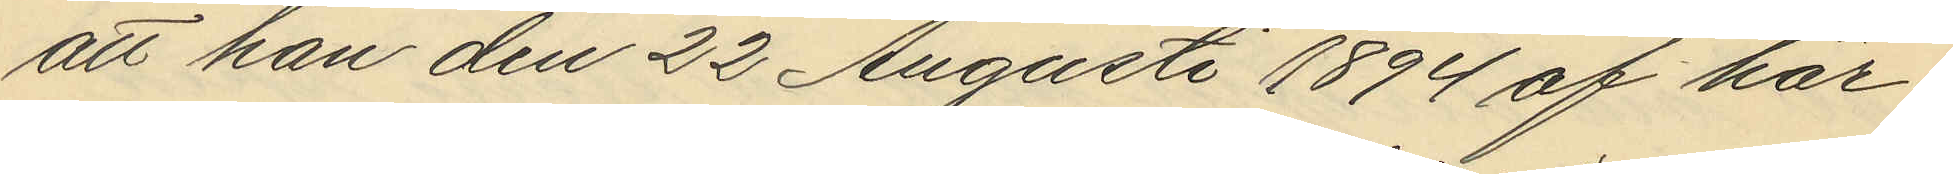att han den 22 Augusti 1894 af här¬
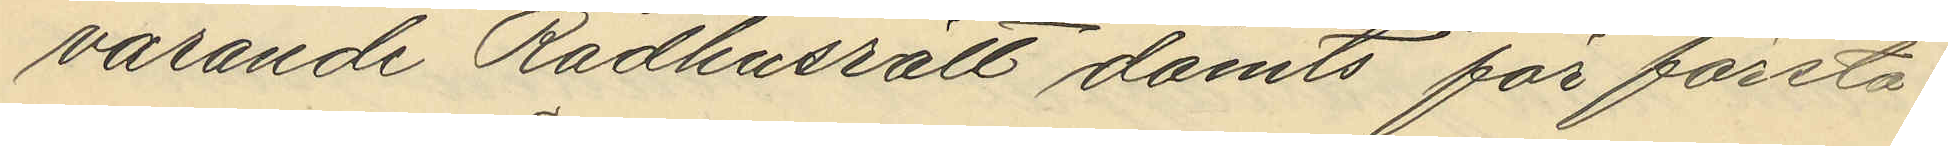varande Rådhusrätt dömts för första
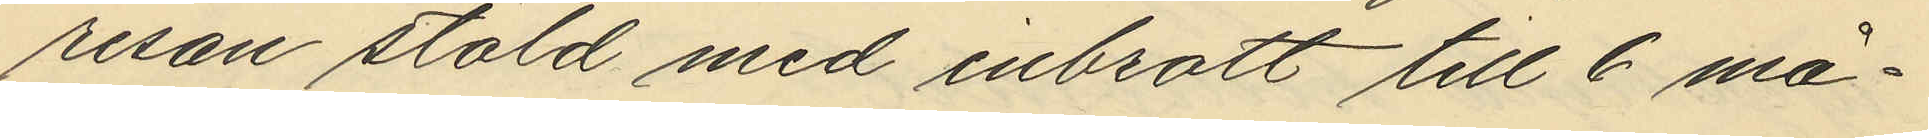resan stöld med inbrott till 6 må¬
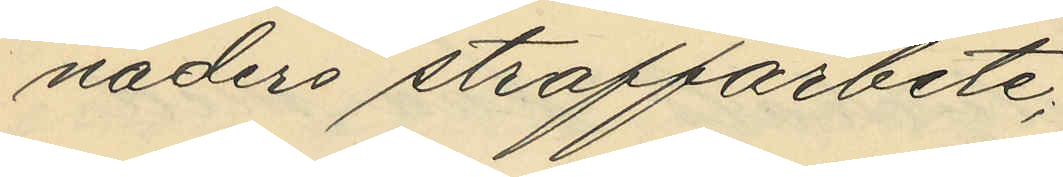naders straffarbete;
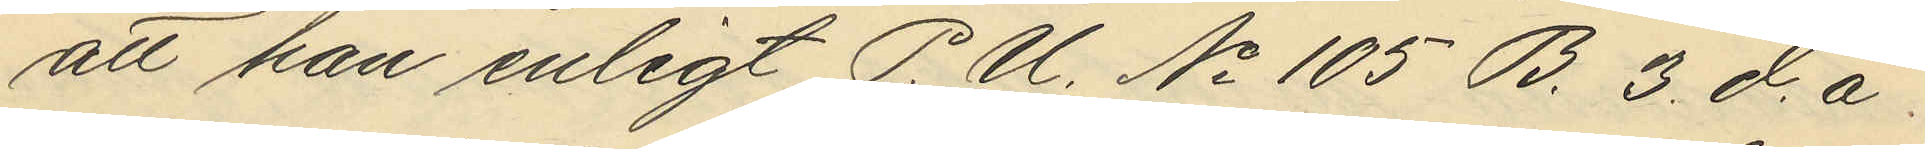att han enligt P. U. No 105 B. 3. d.å.
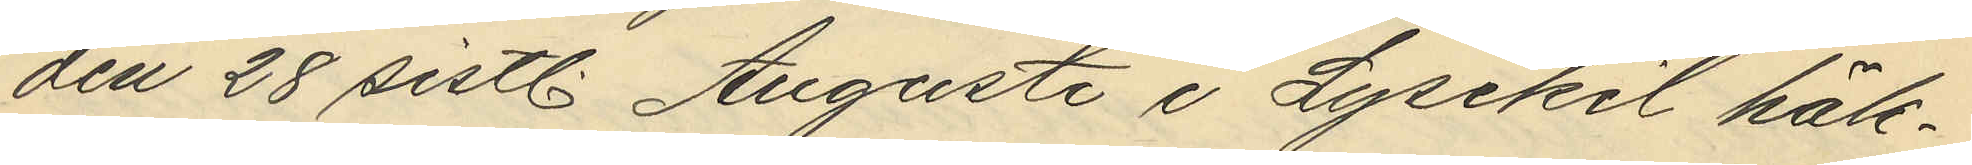den 28 sistl. Augusti i Lysekil häk¬
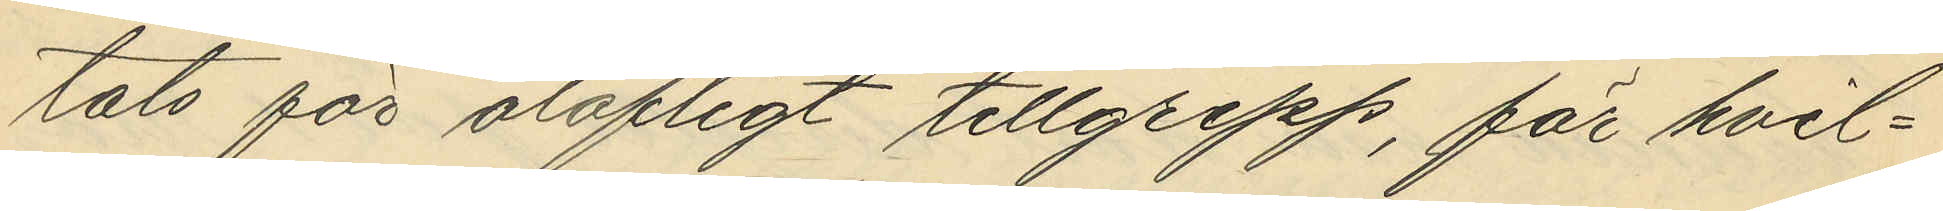tats för olofligt tillgrepp, för hvil¬
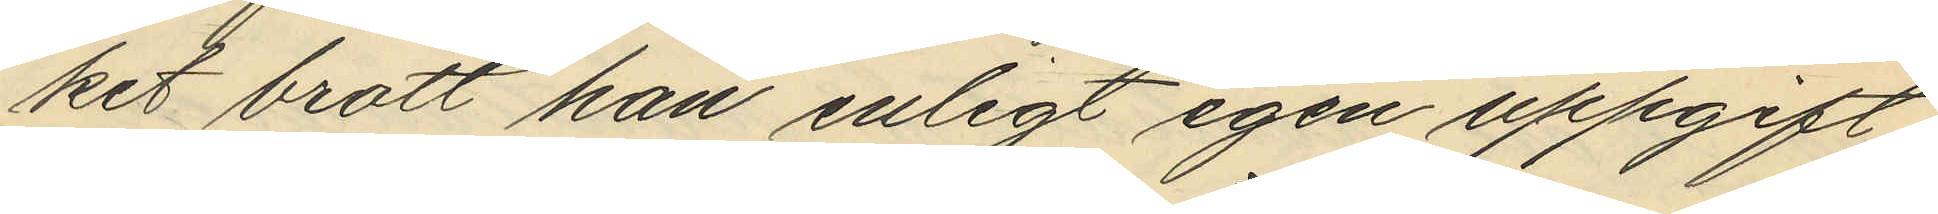ket brott han enligt egen uppgift
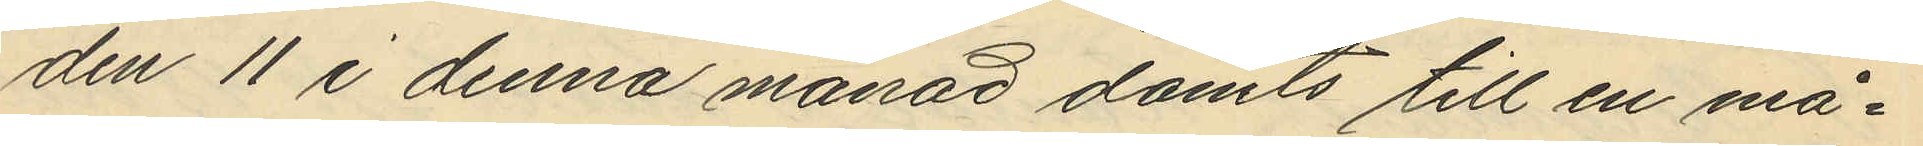den 11 i denna månad dömts till en må¬
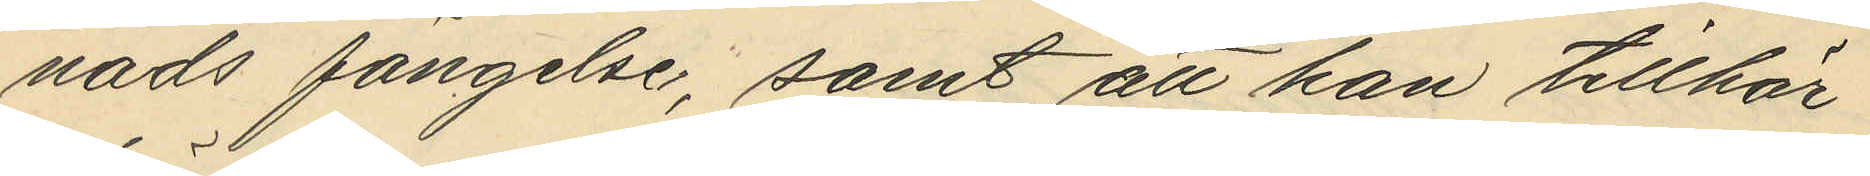nads fängelse, samt att han tillhör
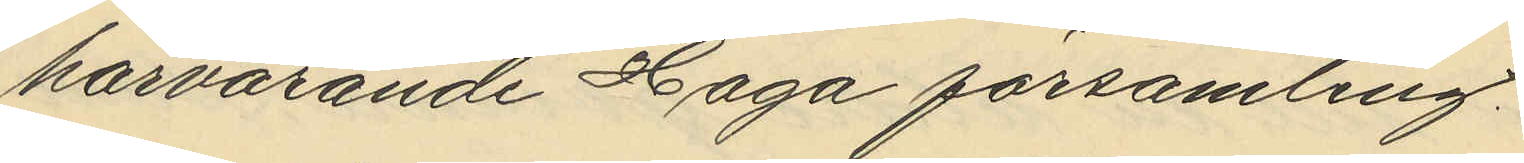härvarande Haga församling.
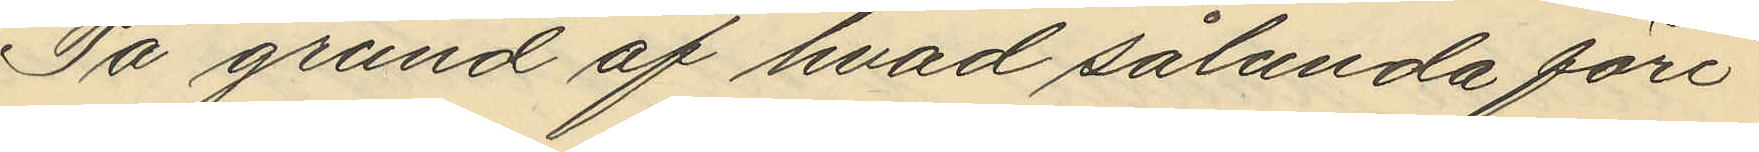På grund af hvad sålunda före¬
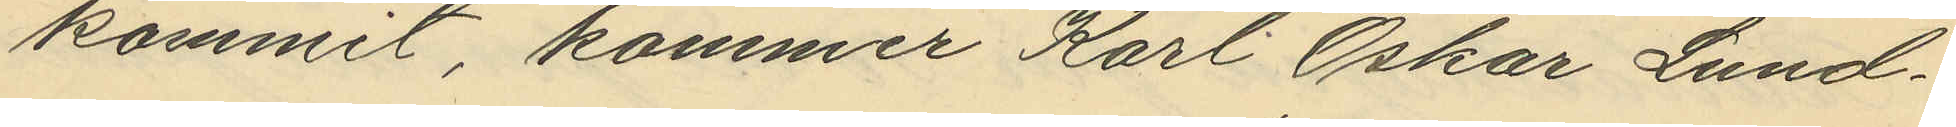kommit, kommer Karl Oskar Lund¬
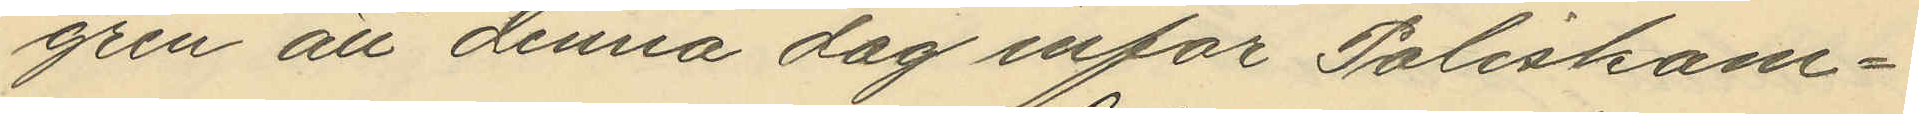gren att denna dag inför Poliskam¬
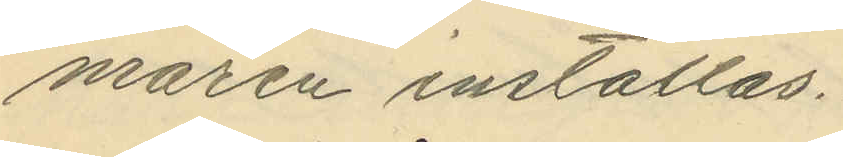maren inställas.
